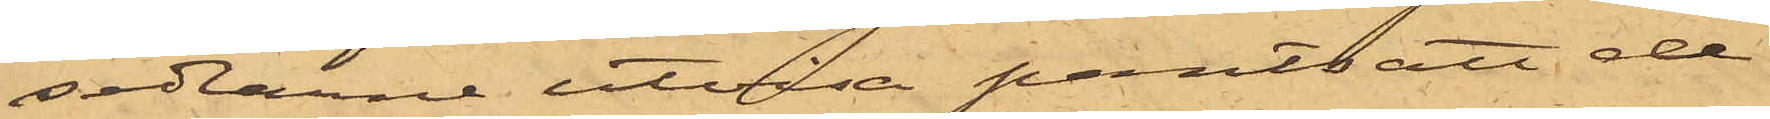sedlarne utvisa pantsatt de
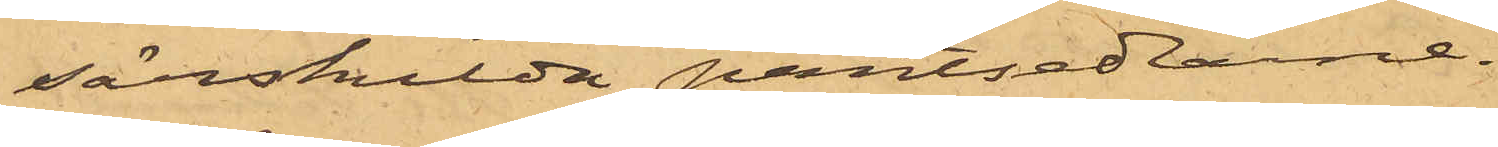särskilda pantsedlarne.
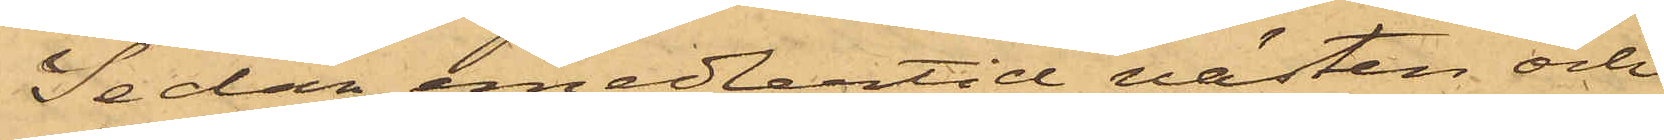Sedan emedlertid västen och
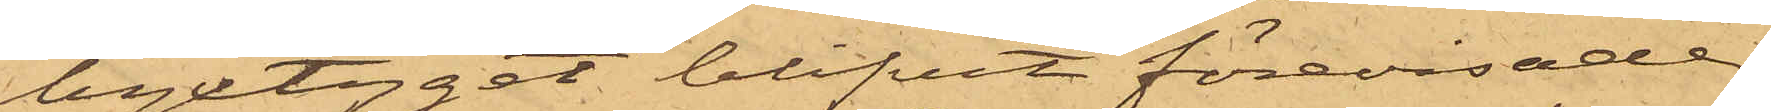byxtyget blifvit förevisade
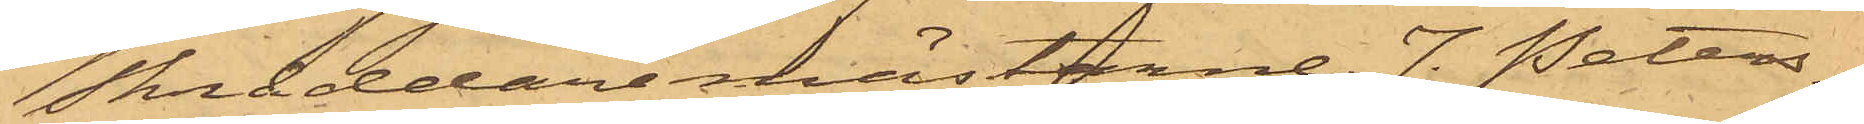skräddaremästarne J. Peters¬
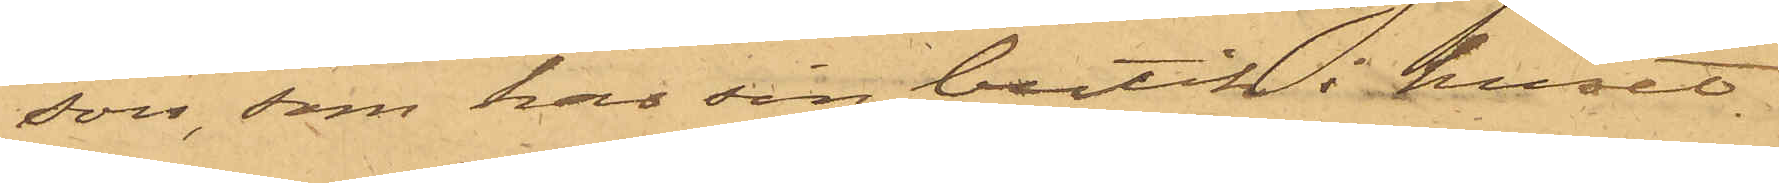son, som har sin butik i huset
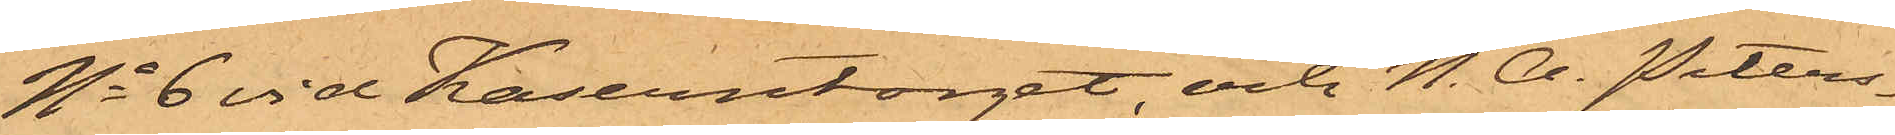No 6 vid Kaserntorget, och N. A. Peters¬
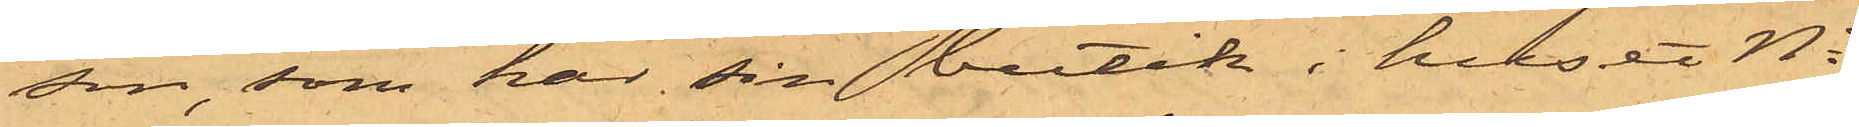son, som har sin butik i huset No
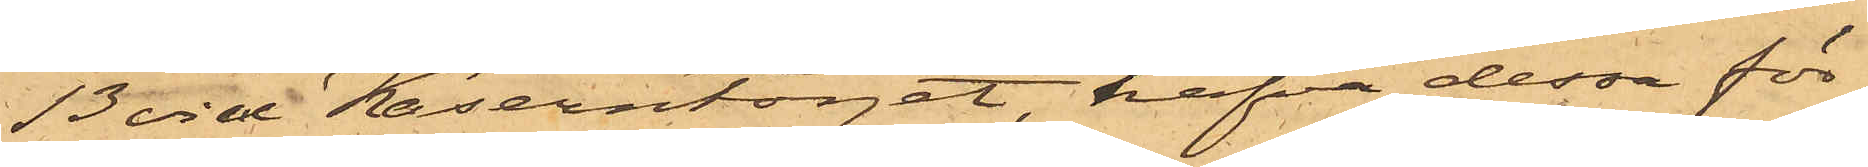13 vid Kaserntorget, hafva dessa för¬
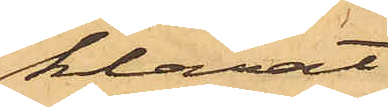klarat
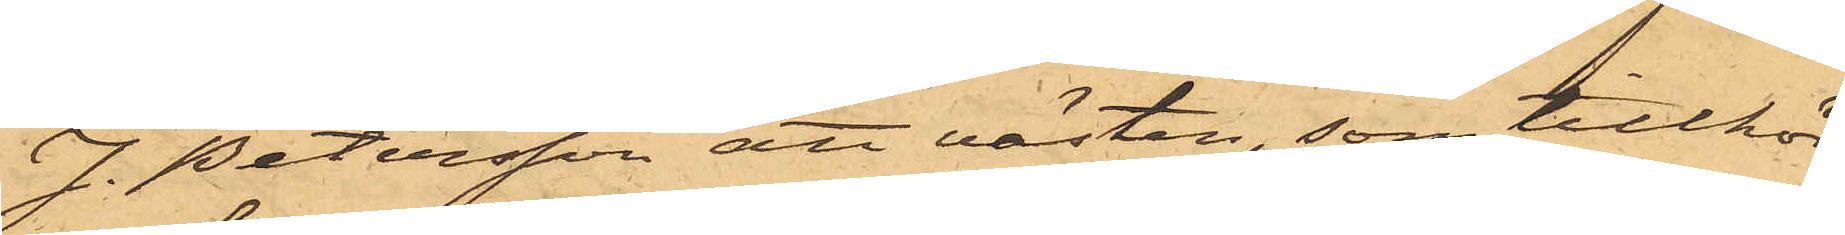J. Petersson att västen, som tillhör¬
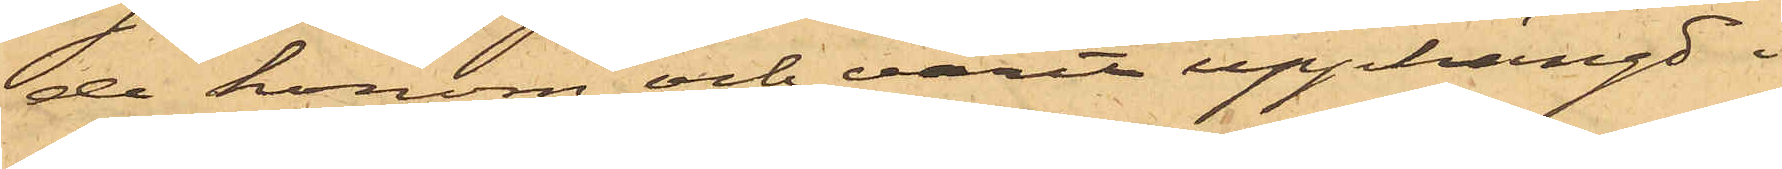de honom och varit upphängd i
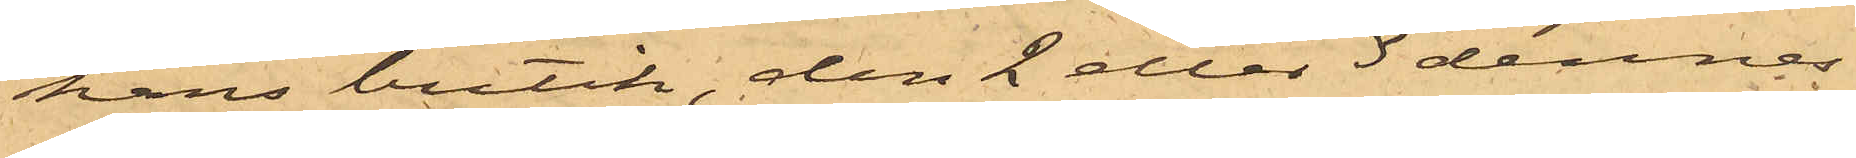hans butik, den 2 eller 3 dennes
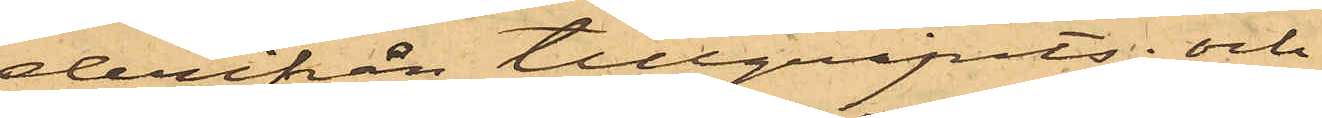derifrån tillgripits; och
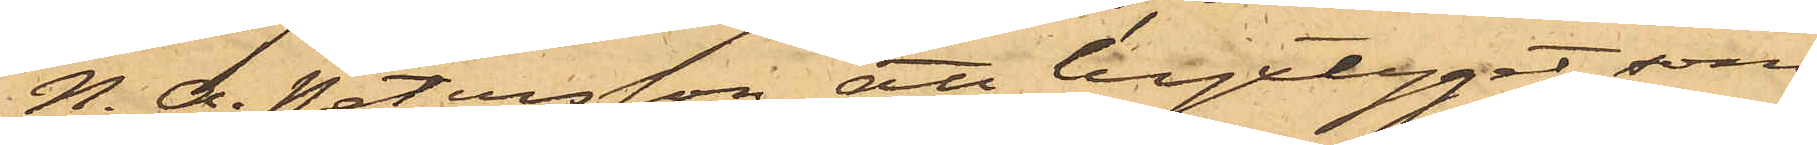N. A. Petersson att byxtyget, som
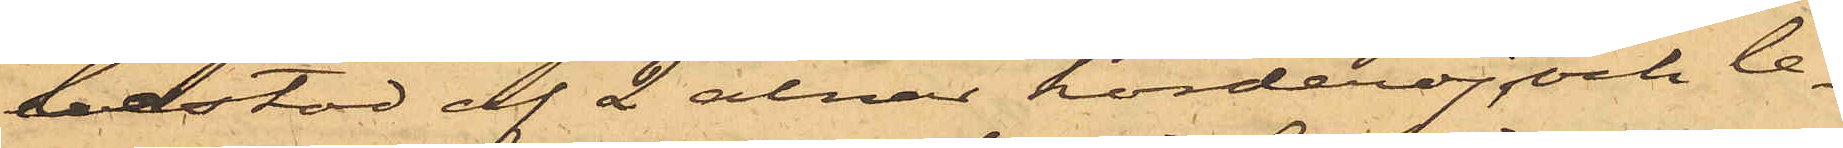bestod af 2 alnar korderoj och le¬
